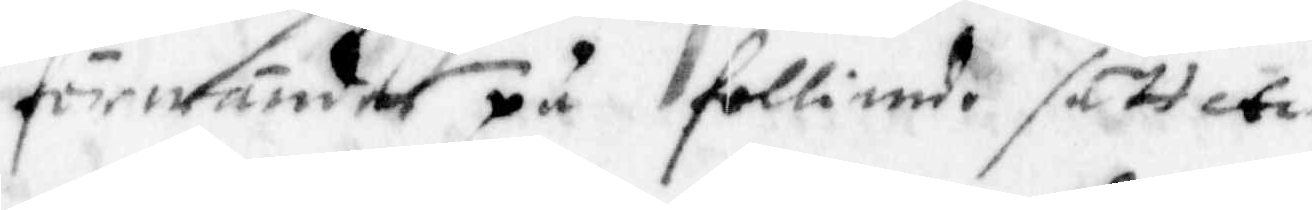förwänder på folliande sätt etc
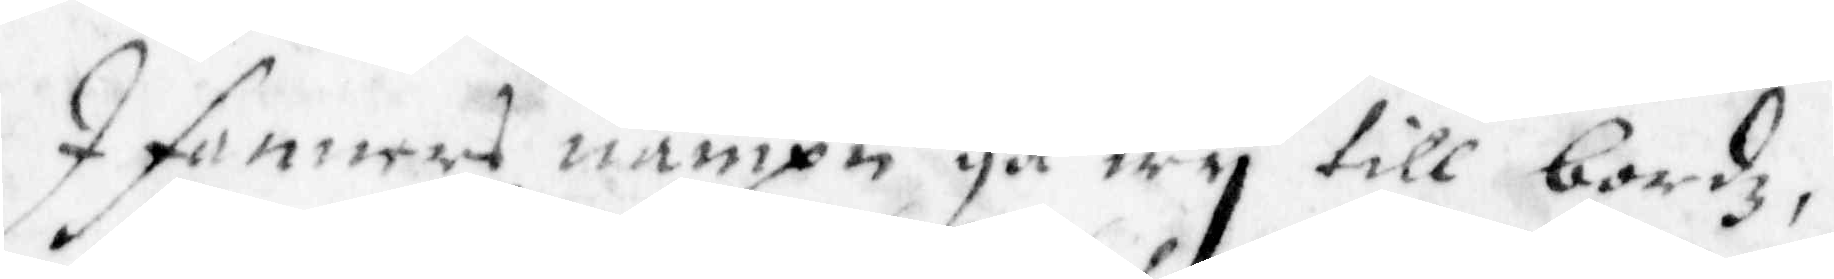I fanners namp gå wy till bordz,
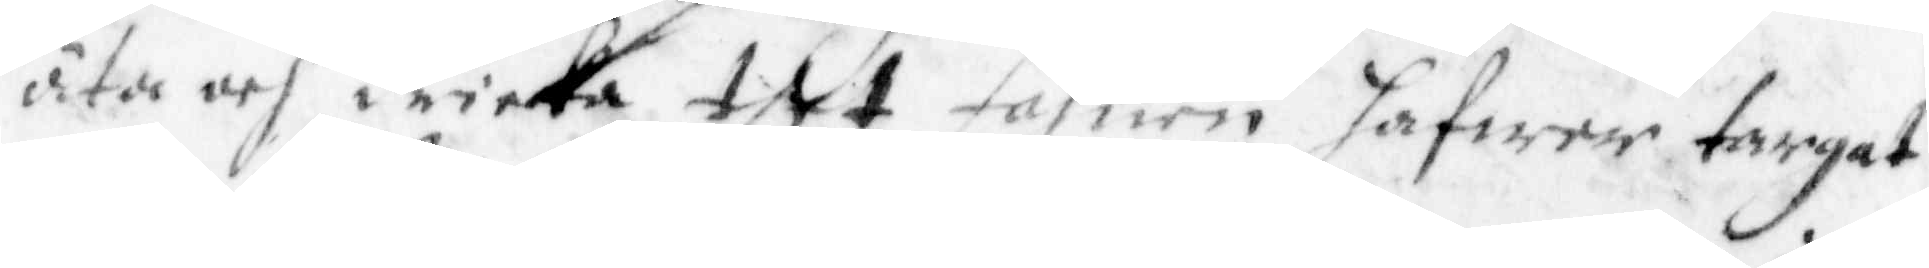äta och dricka tet fahnen hafwer targat
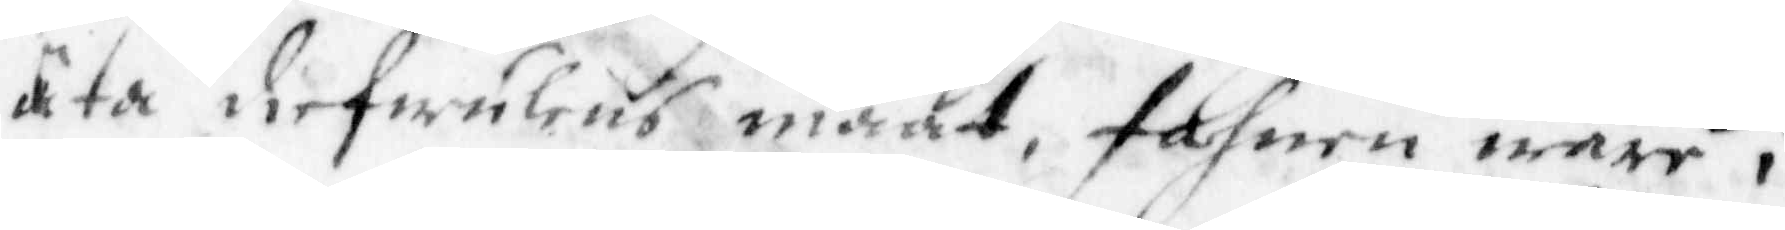äta diefwulens maat, fahnen ware i
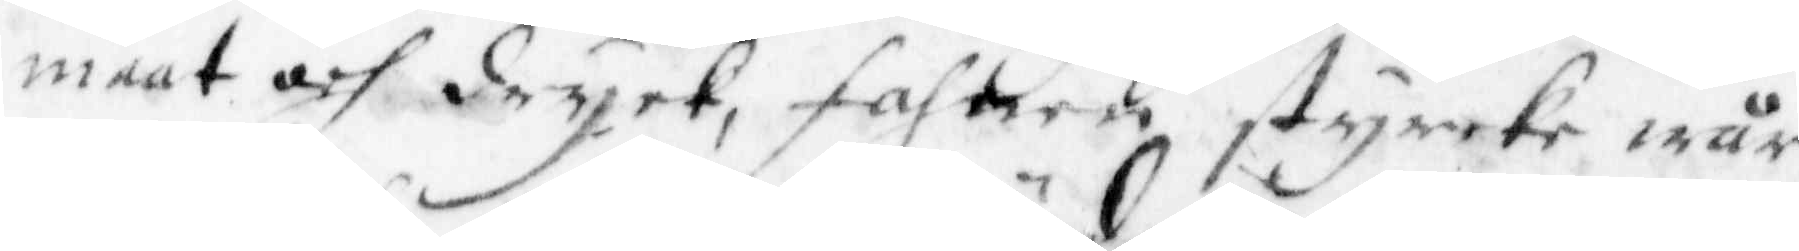maat och dryet, fahnen styrcke wår
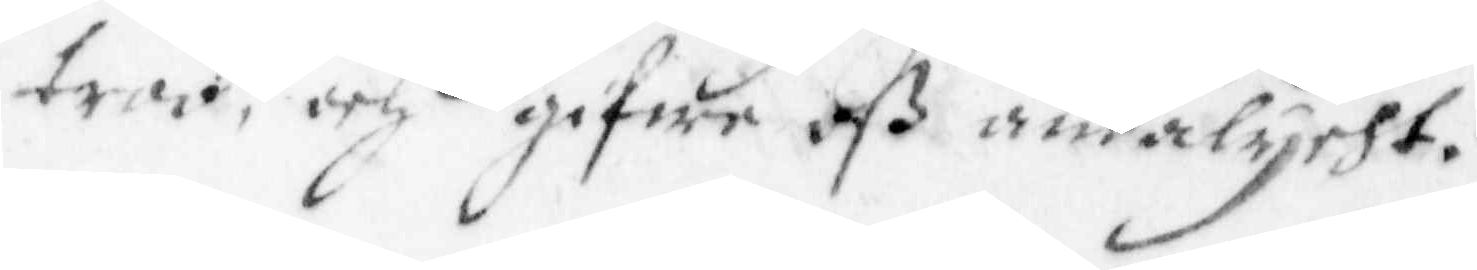troo, och gifwe oß andalycht.
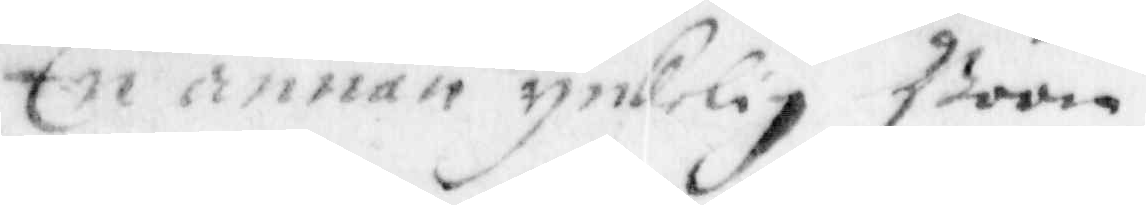En annan ynkelig Böön
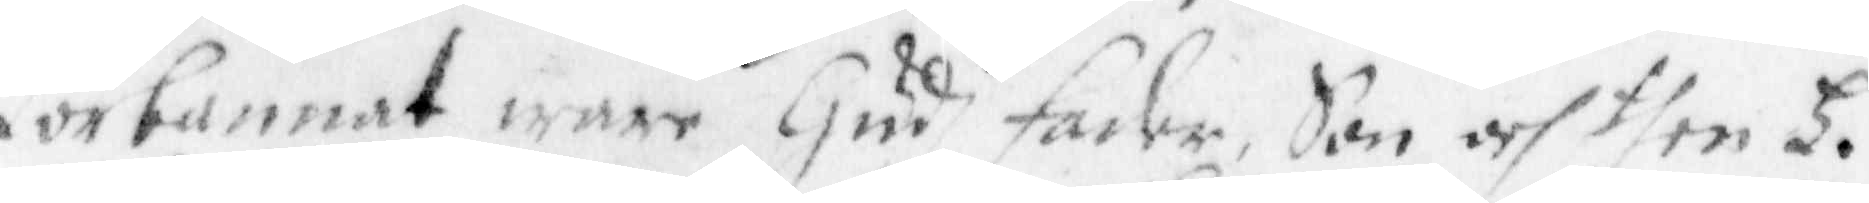Förbannat ware Gudh dadher, Son och then H.
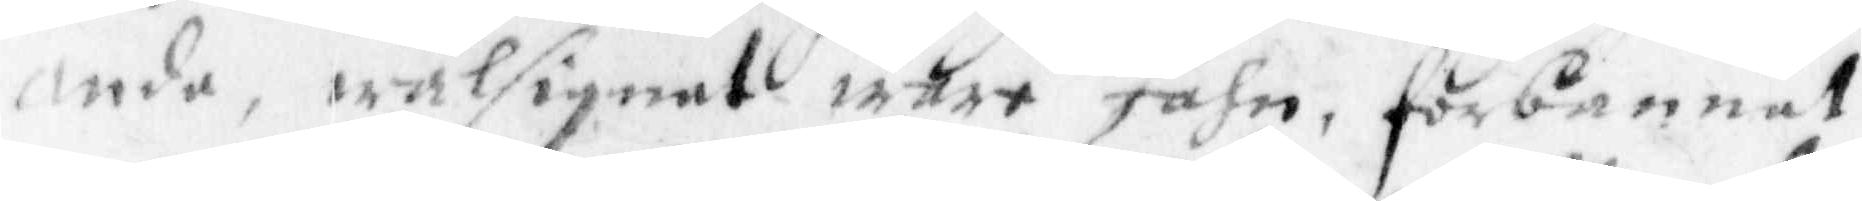ande, wälsignat ware fahn, förbannat
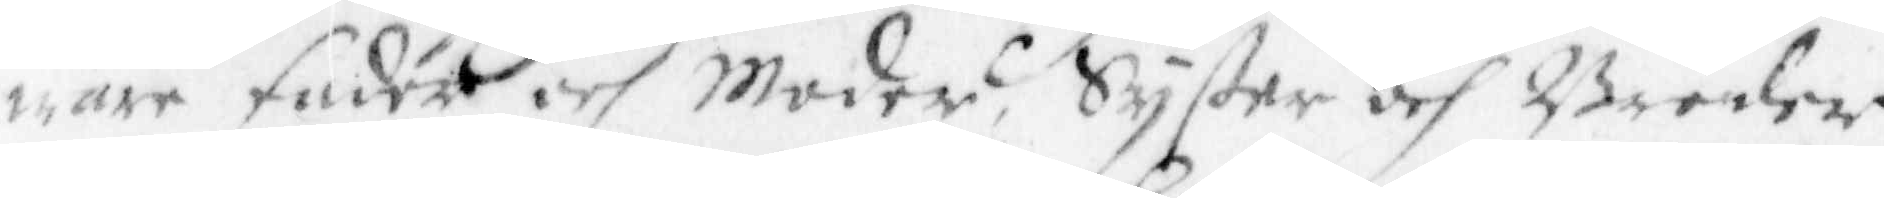ware fader och Moder, Syster och Broder
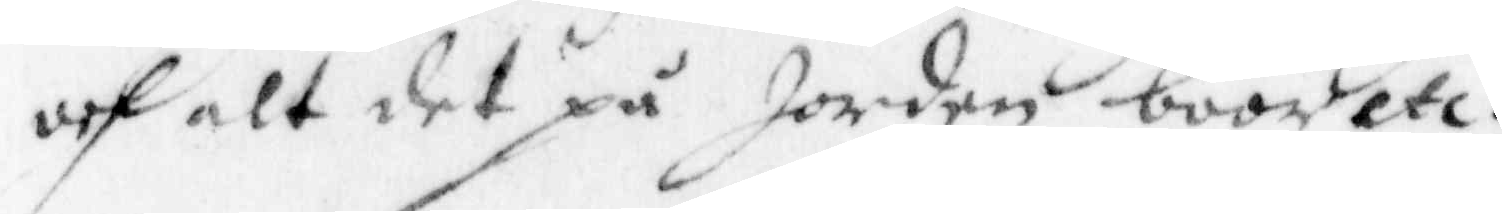och alt det på Jorden boor etc.
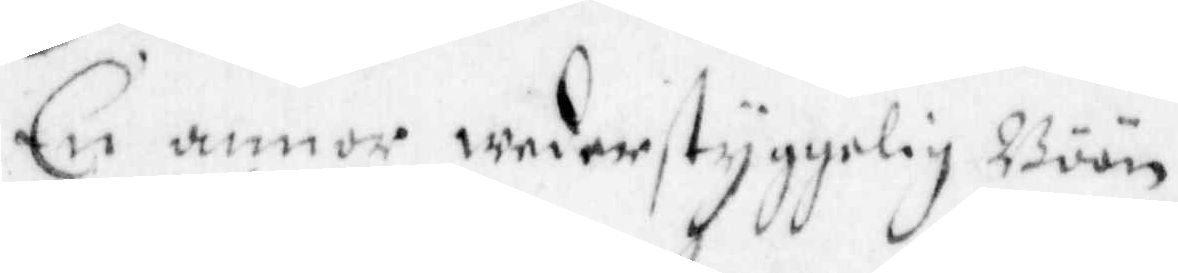En annor wederstyggelig Böön
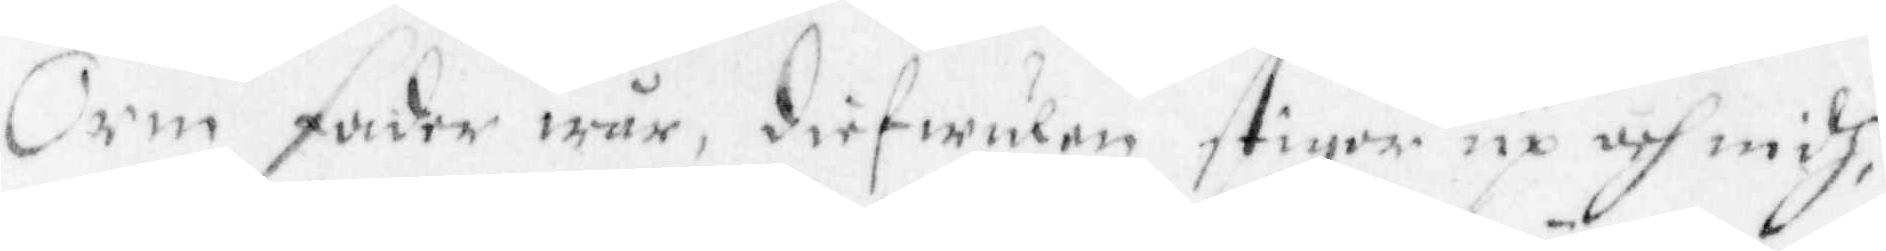Orm fader wår, diefwulen stiger up och widh,
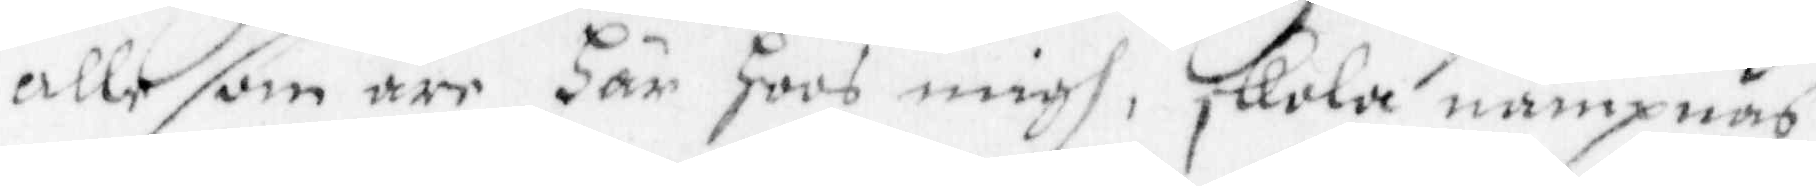alle som äre Här hoos migh, skola nämpnas
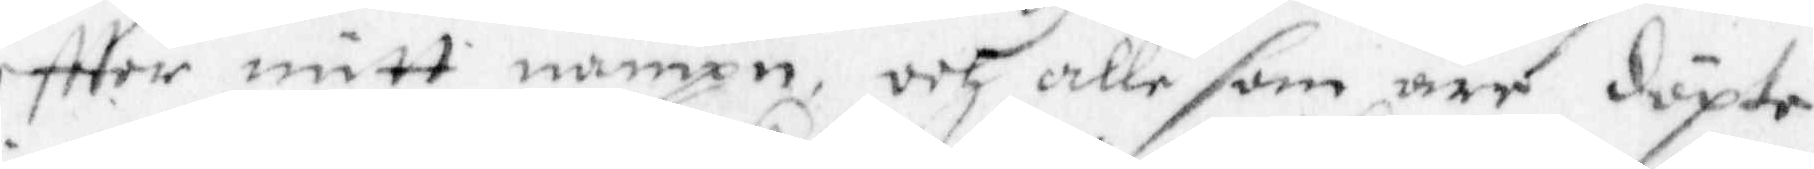eftter mitt nampn, och alle som äre döpte
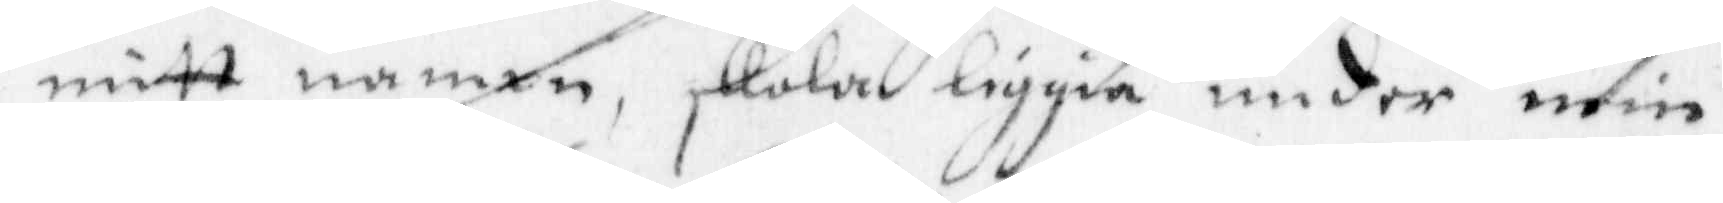i mitt nampn, skola liggia under min
